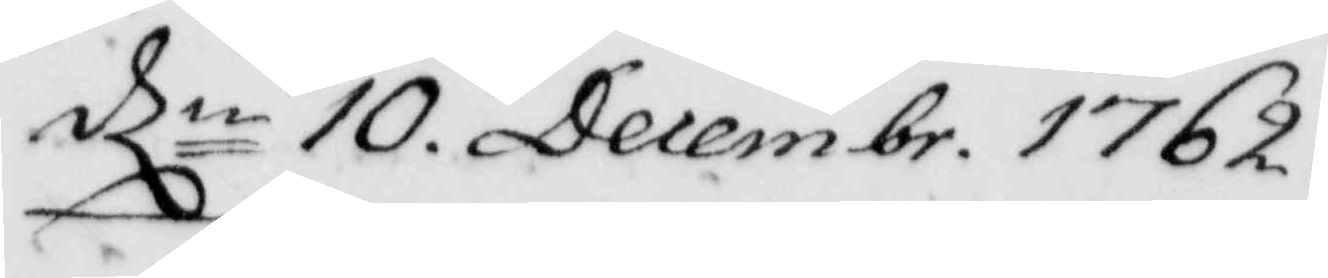dln 10. Decembr. 1762.
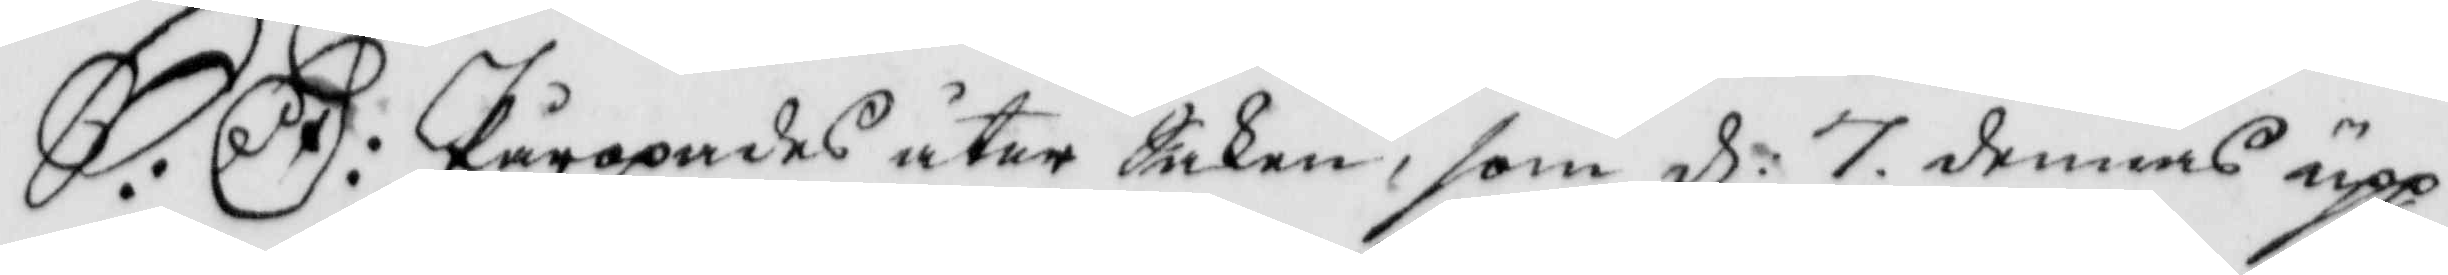S:D: Påropades åter Saken, som d: 7 dennes upp¬
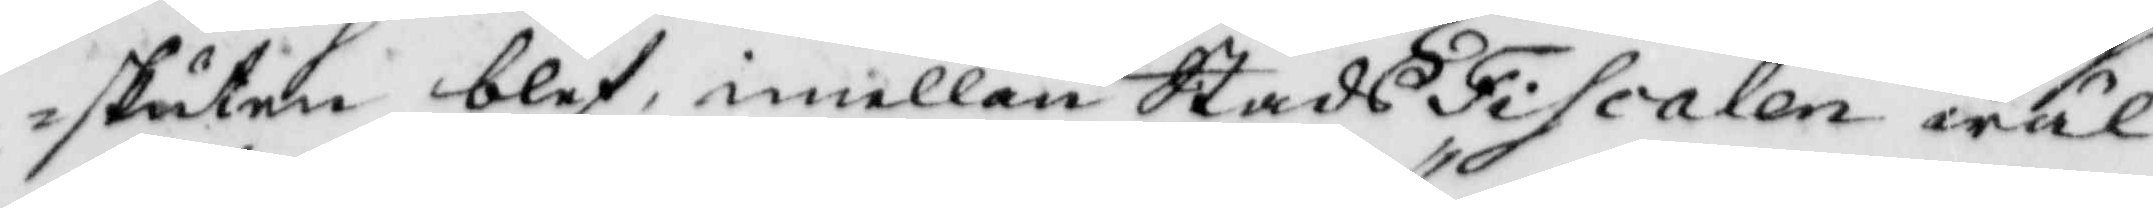skuten blef, imellan StadsFiscalen wäl¬
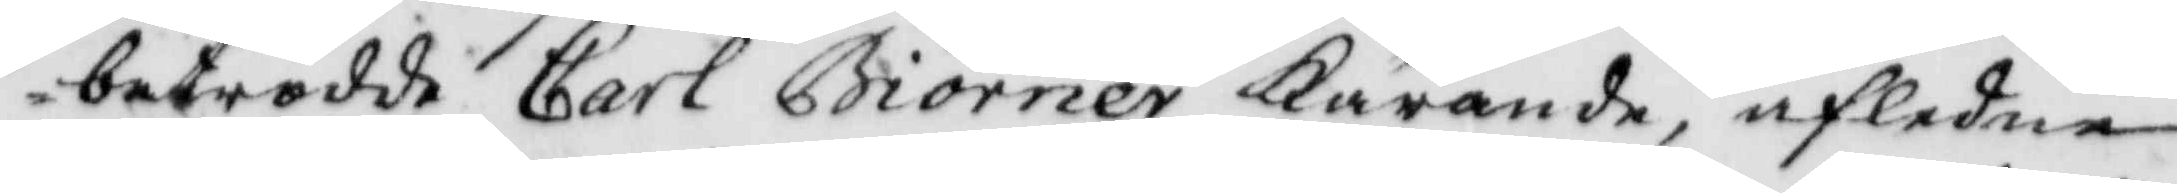betrodde Carl Biörner Kärande, afledne
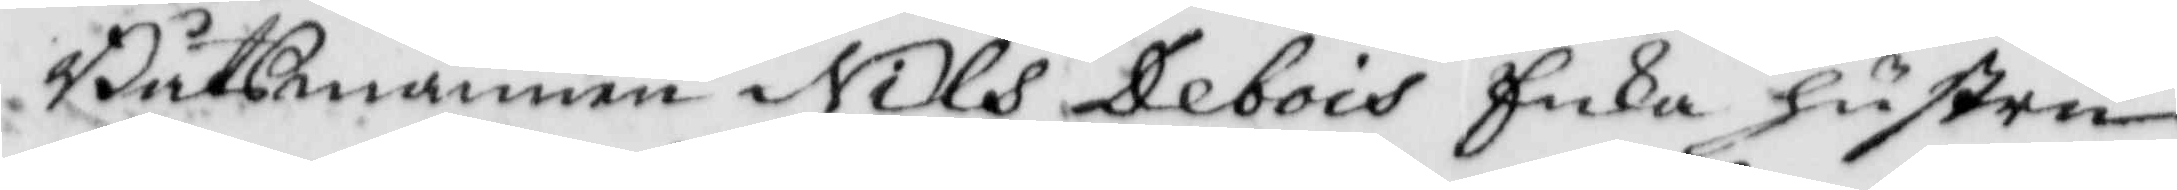Båtsmannen Nils Debois Enka hustru
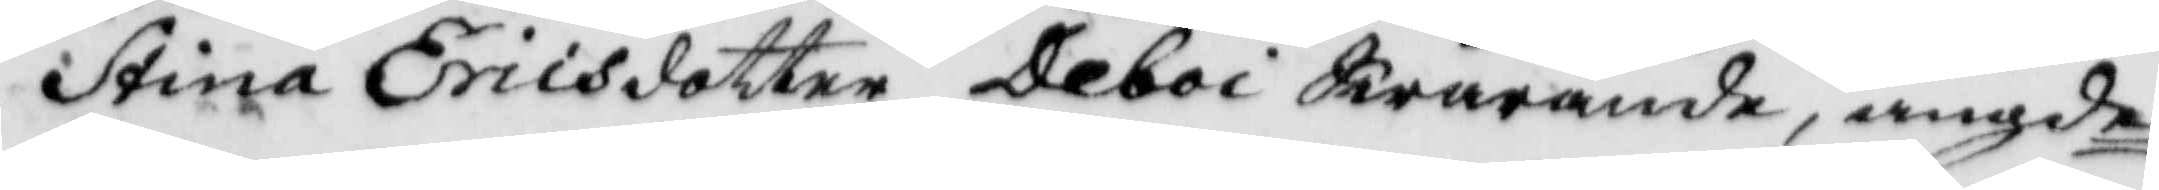Stina Ericsdotter Deboi Swarande, angde
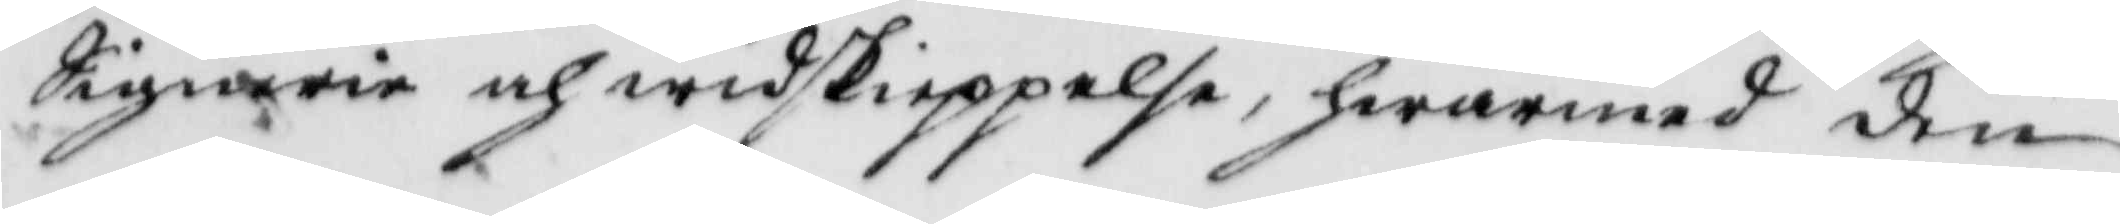Signerie och widskieppelse, hwarmed den
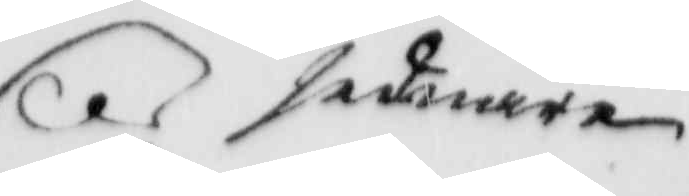sednare
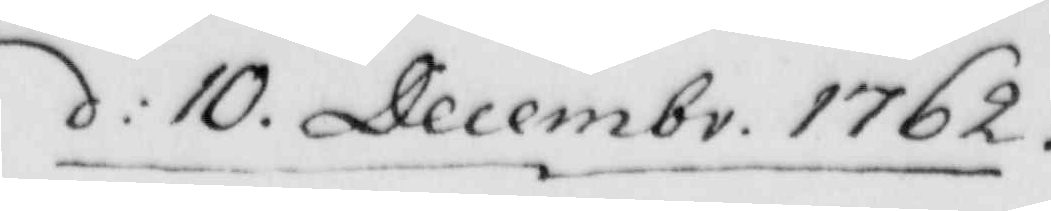d: 10. Decembr. 1762.
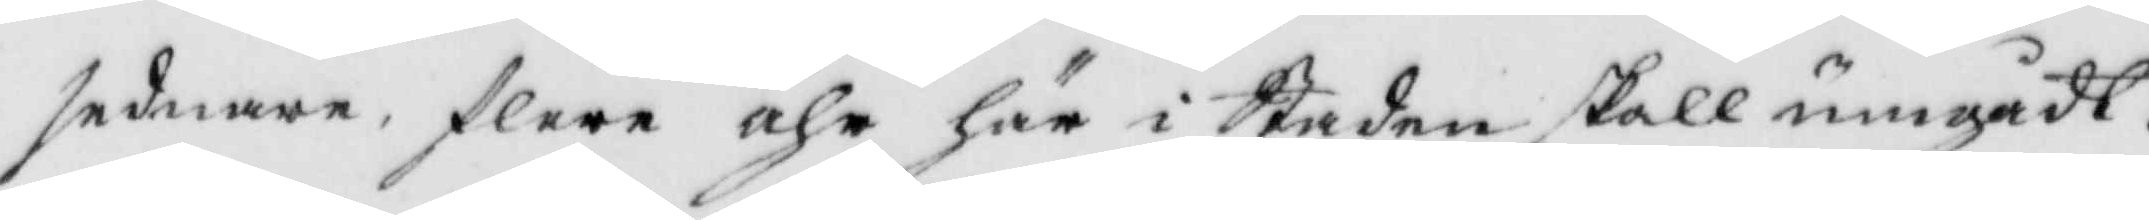sednare, flere åhr här i Staden skall umgådt.
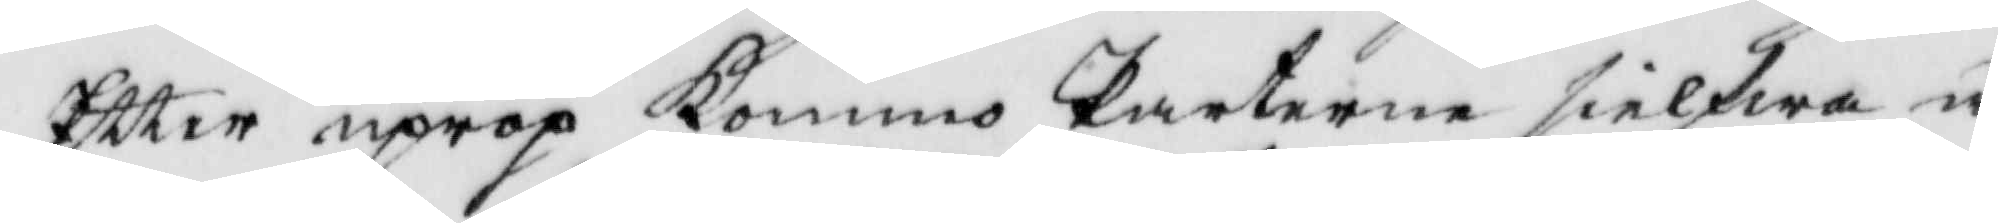Eftter upprop Kommo Parterne sielfwa å
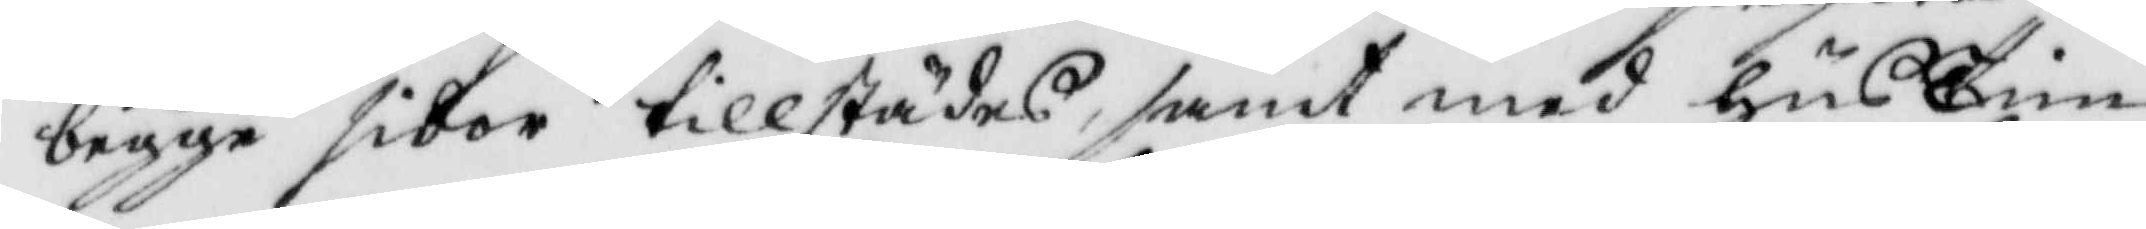bägge sidor tillstädes, samt med husTim¬
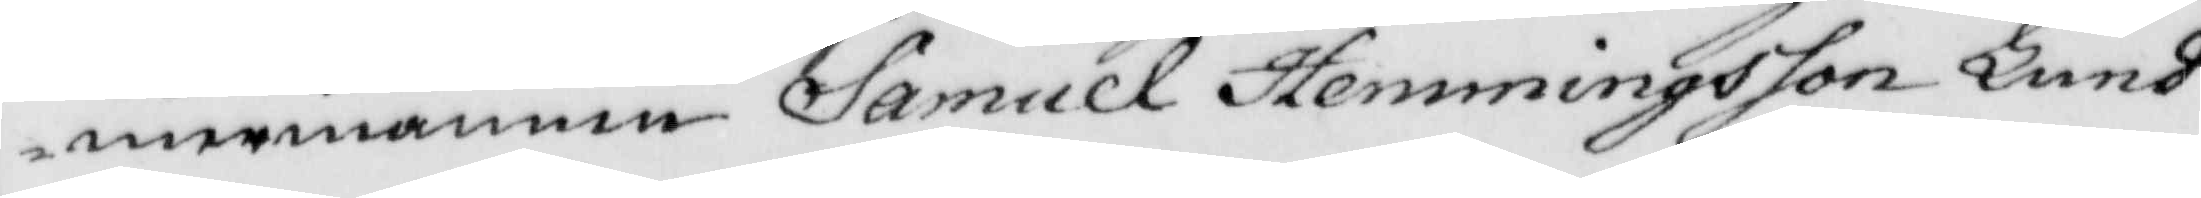mermannen Samuel Hemmingsson Lund¬
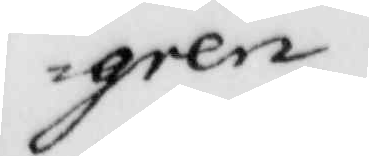gren.
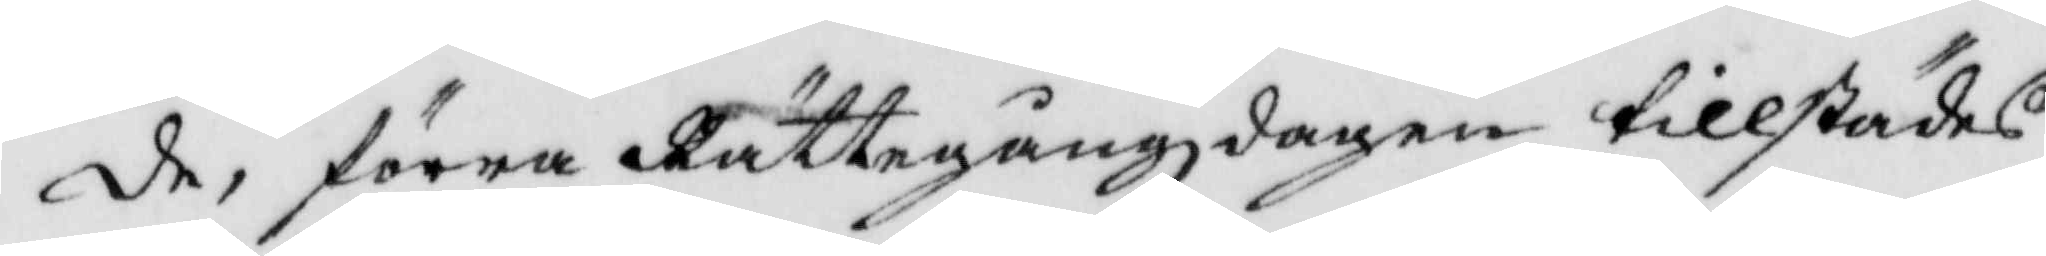de, förra Rättegångzdagen tillstädes
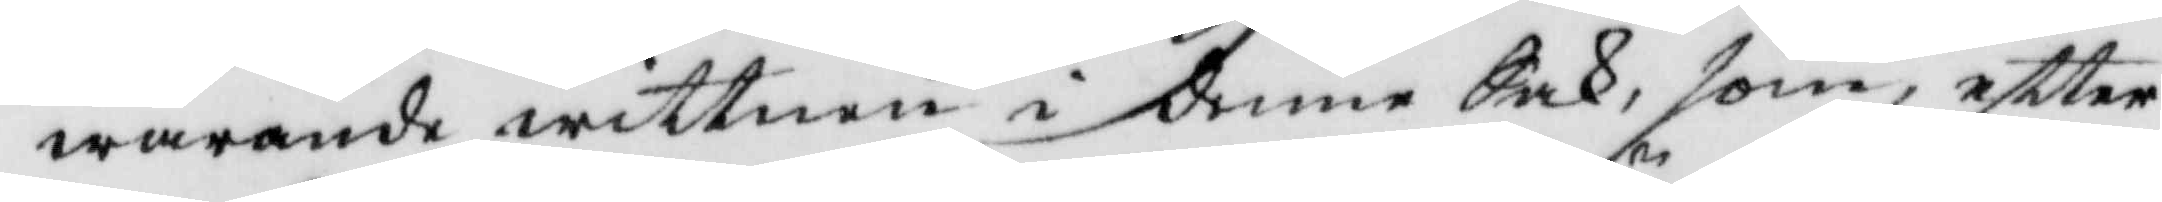warande wittnen i denne Sak, som, eftter
